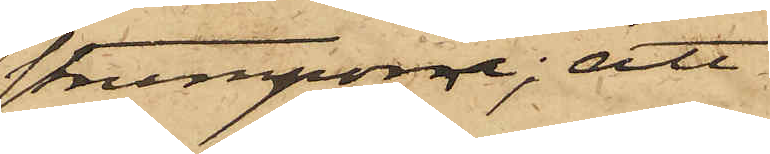strumporna; att
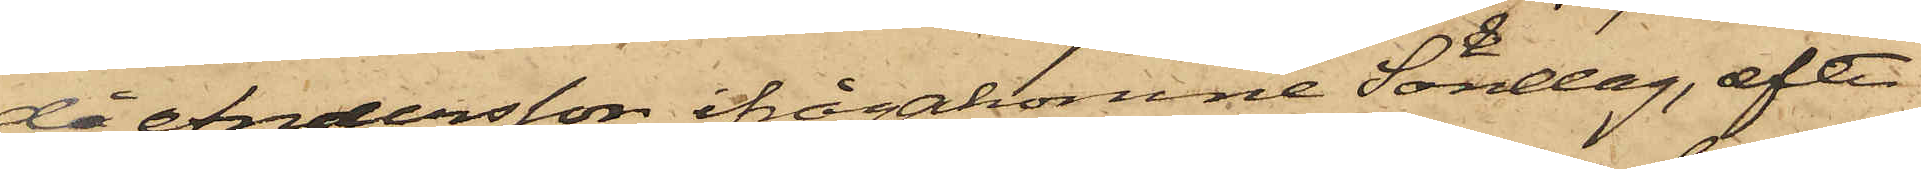då Andersson ifrågakomne Söndag, efter
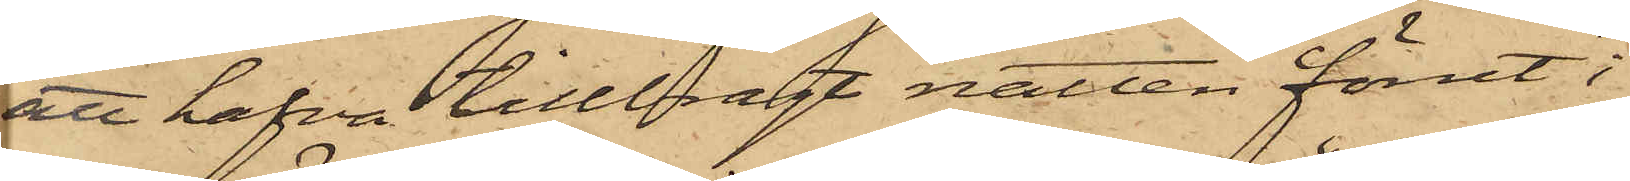att hafva tillbragt natten förut i
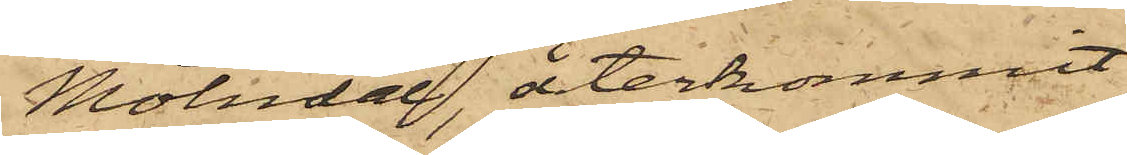Mölndal, återkommit
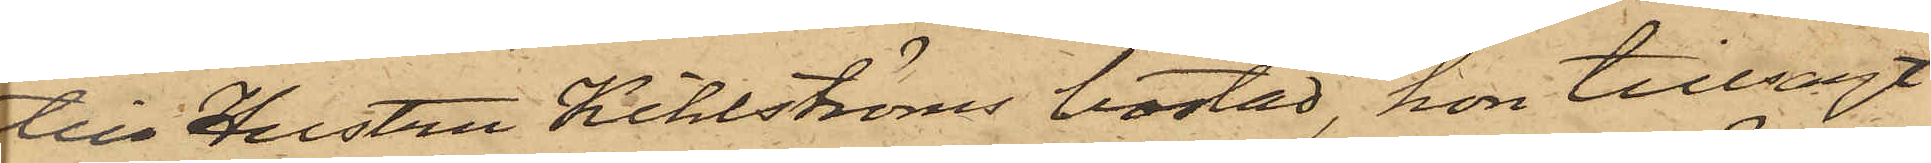till Hustru Kihlströms bostad, hon tillsagt
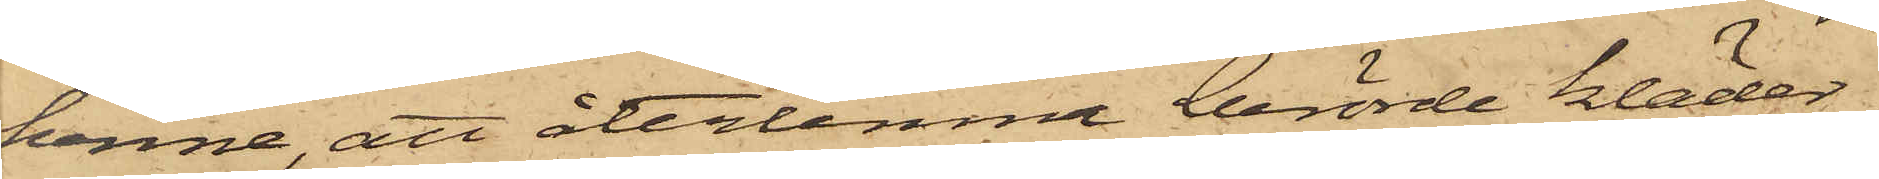henne, att återlemna berörde kläder,
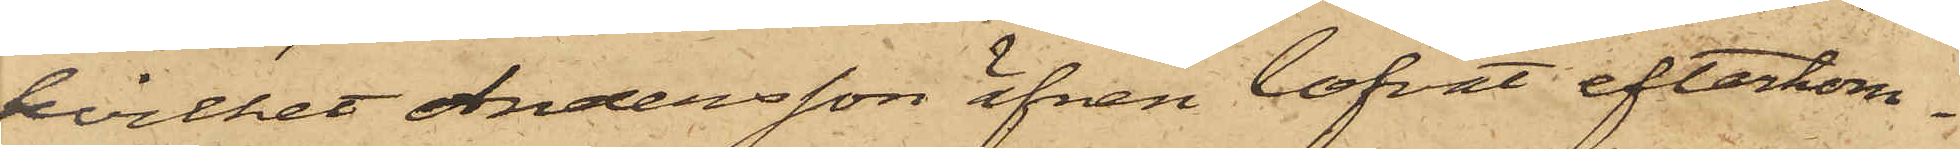hvilket Andersson äfven lofvat efterkom¬
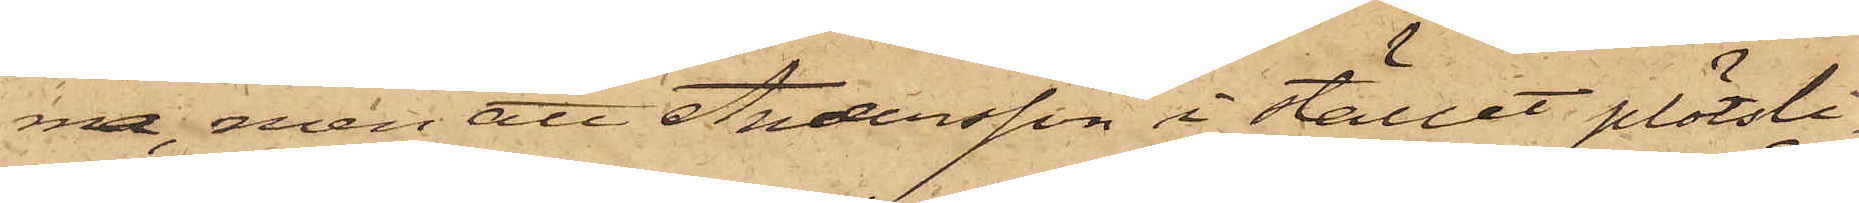ma, men att Andersson i stället plötsli¬
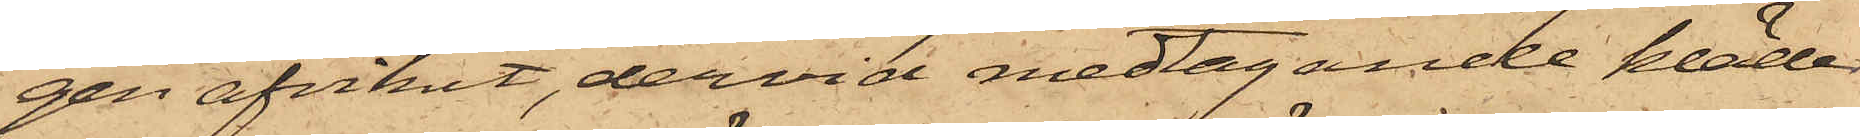gen afvikit, dervid medtagande kläder¬
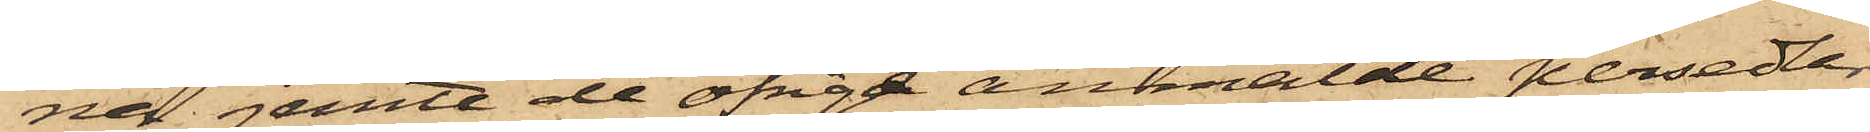na, jemte de öfriga anmälde persedlar¬
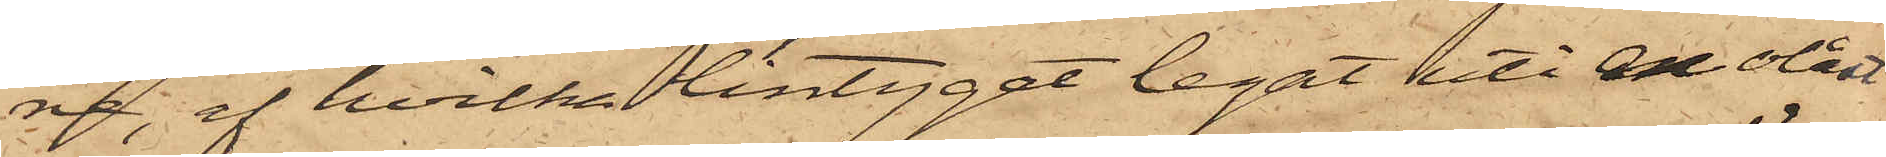na, af hvilka lintyget legat uti en olåst
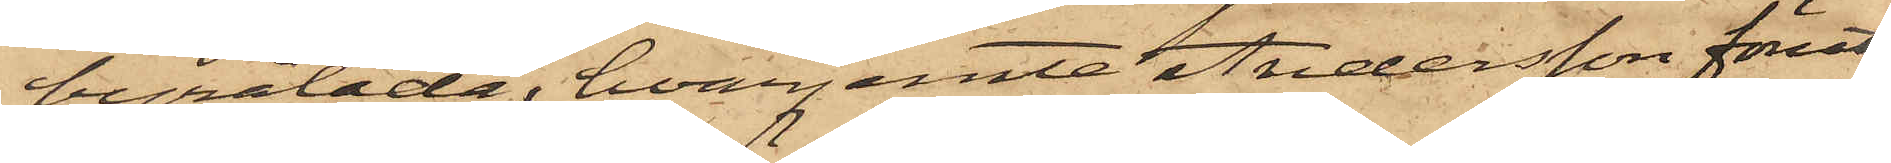byrålåda, hvarjemte Andersson förut,
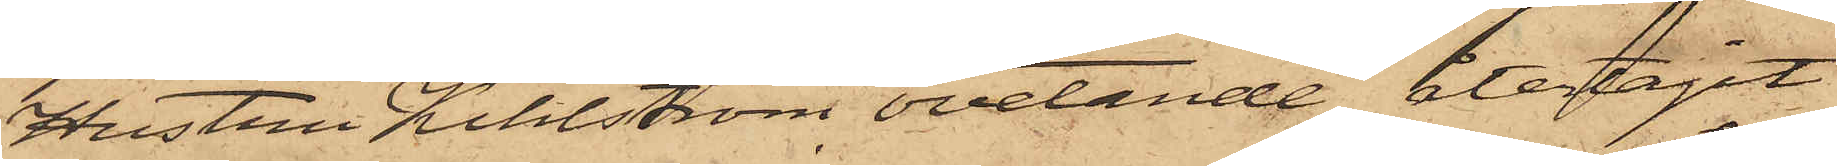hustru Kihlström ovetande, återtagit
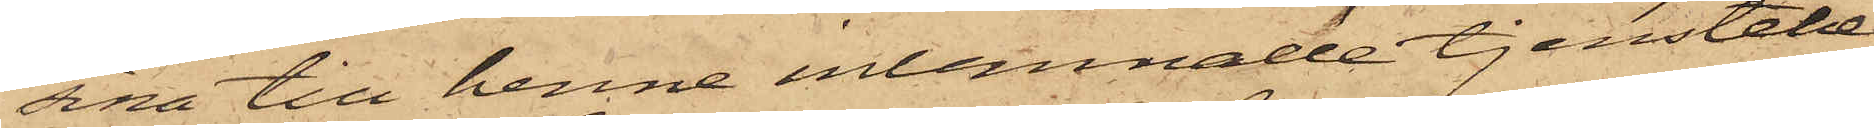sina till henne inlemnade tjenstebe¬
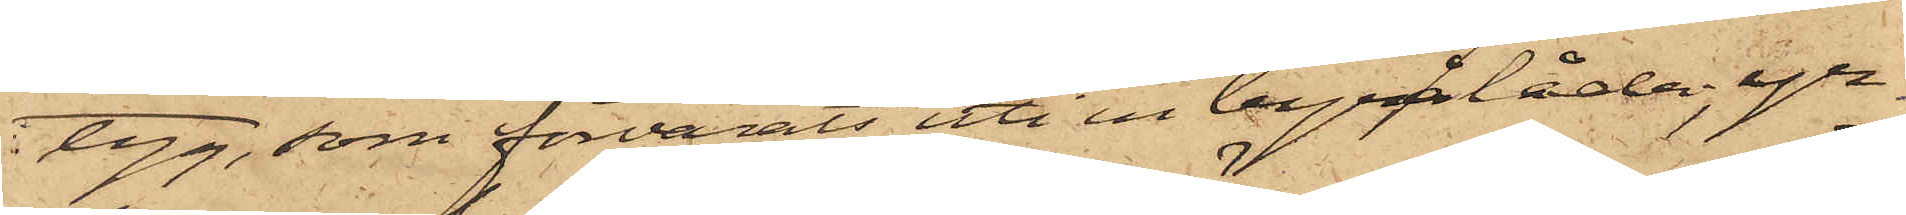tyg, som förvarats uti en byrålåda, yr¬
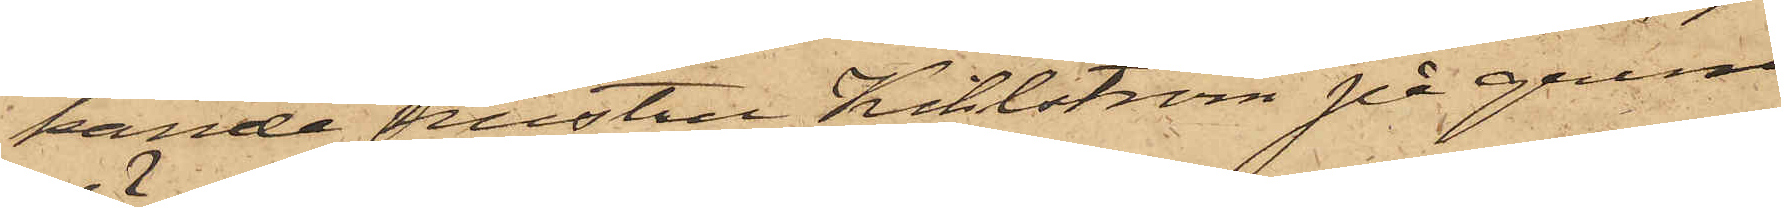kande hustru Kihlström på grund
